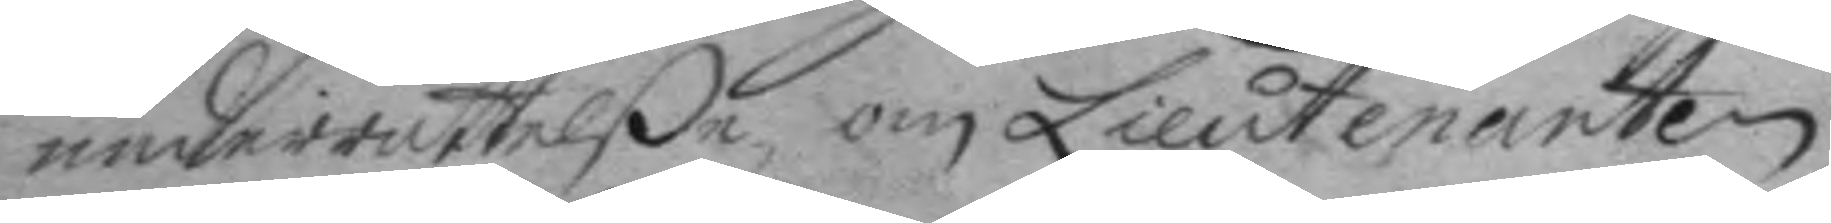underrättelße om Lieutnanten
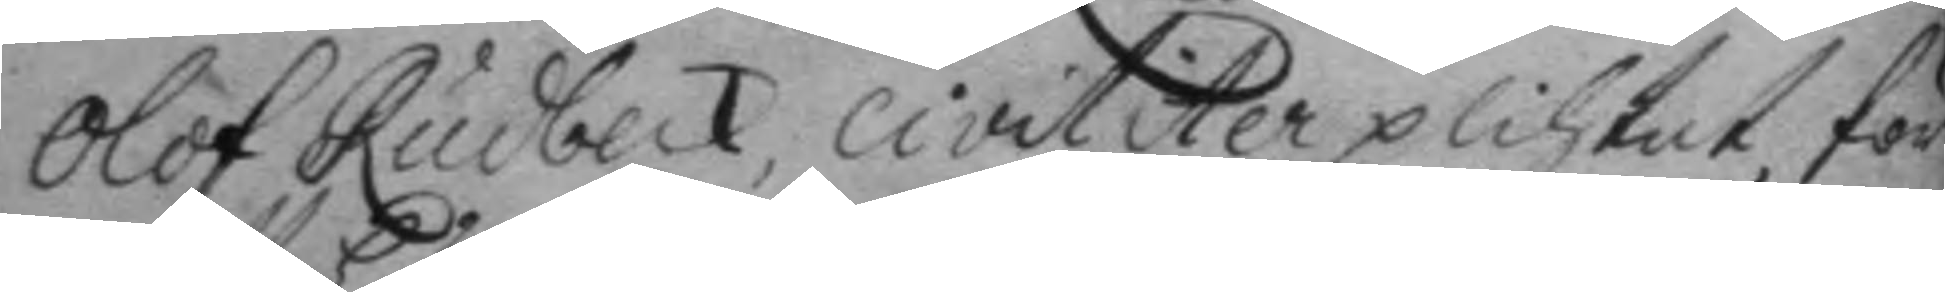Olof Rudbeck, civiliter plihtat, för
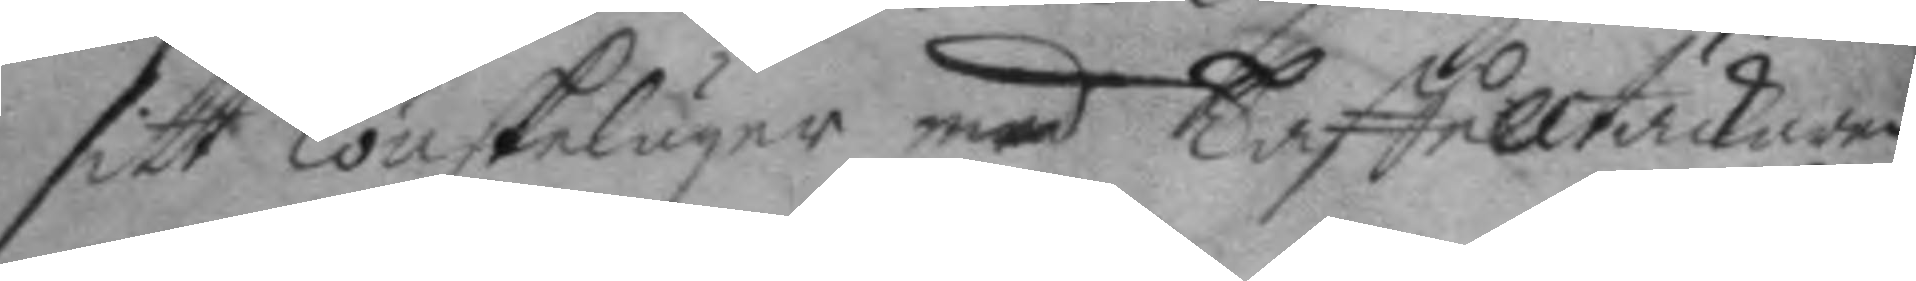sitt lönskeläger med Taffelltäckarenz
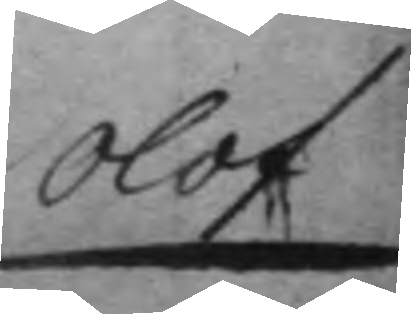Olof
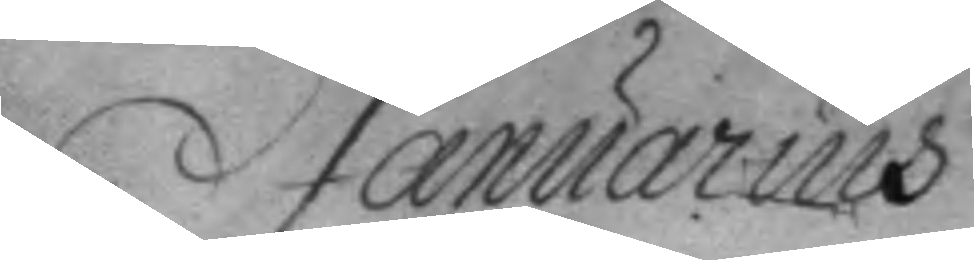Januarius
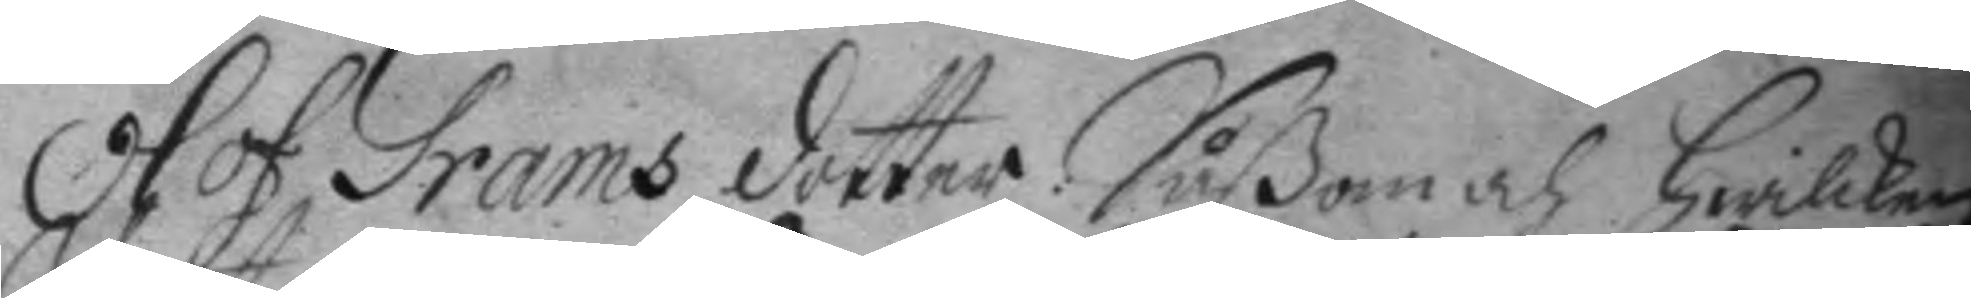Olof Grams dotter: såßom och hwilken
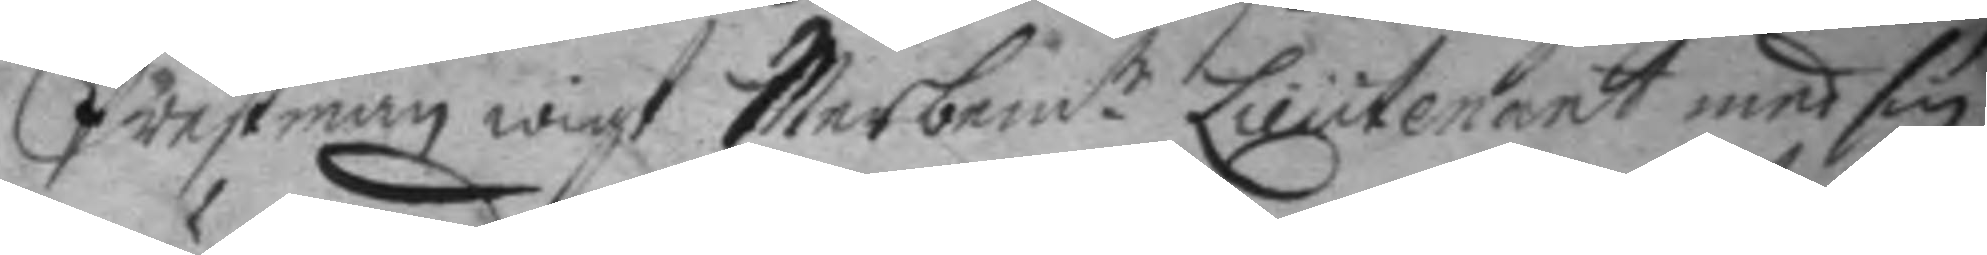Prästman wigt Merbemt.e Lieutnant med sin
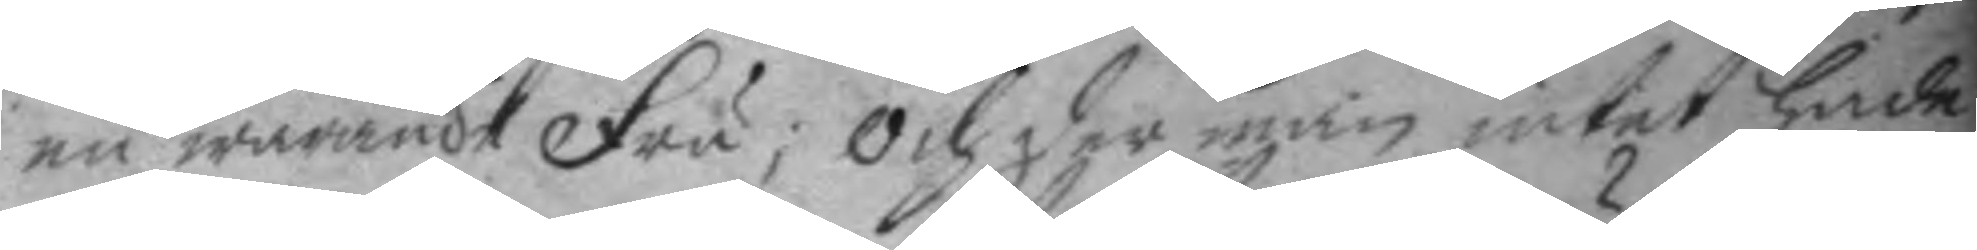nu warande Fru; och der man intet hade
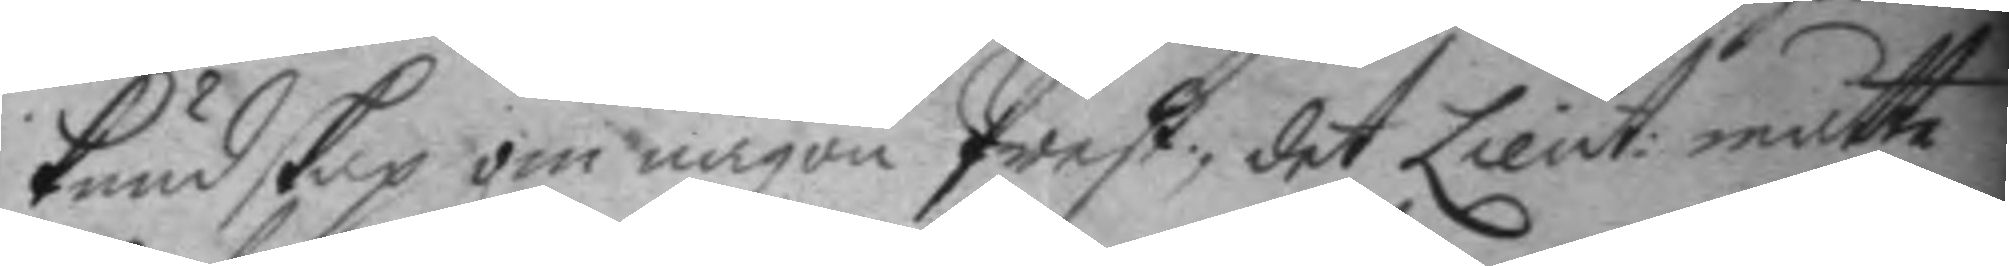kundskap om någon Prest; det Lieut: måtte
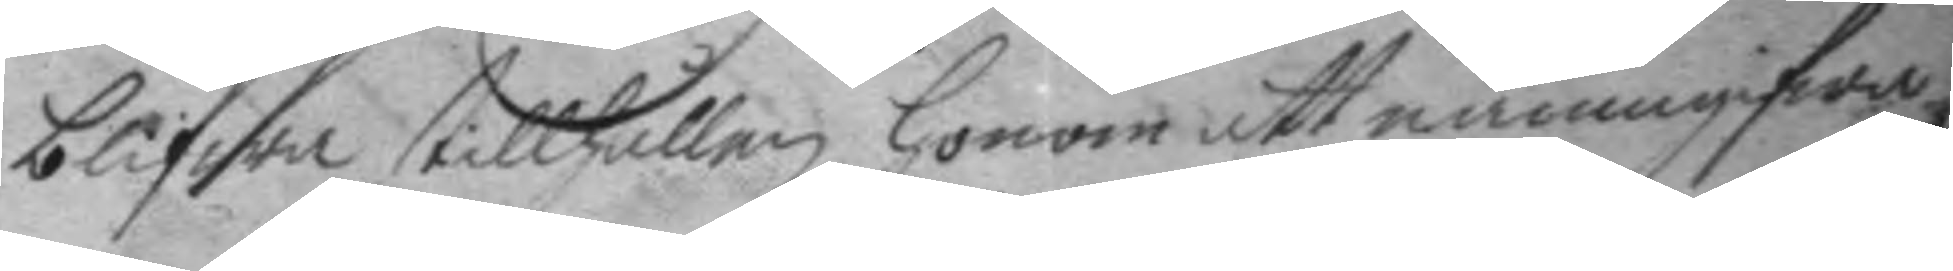blifwa tillhållen honom att manmgifwa
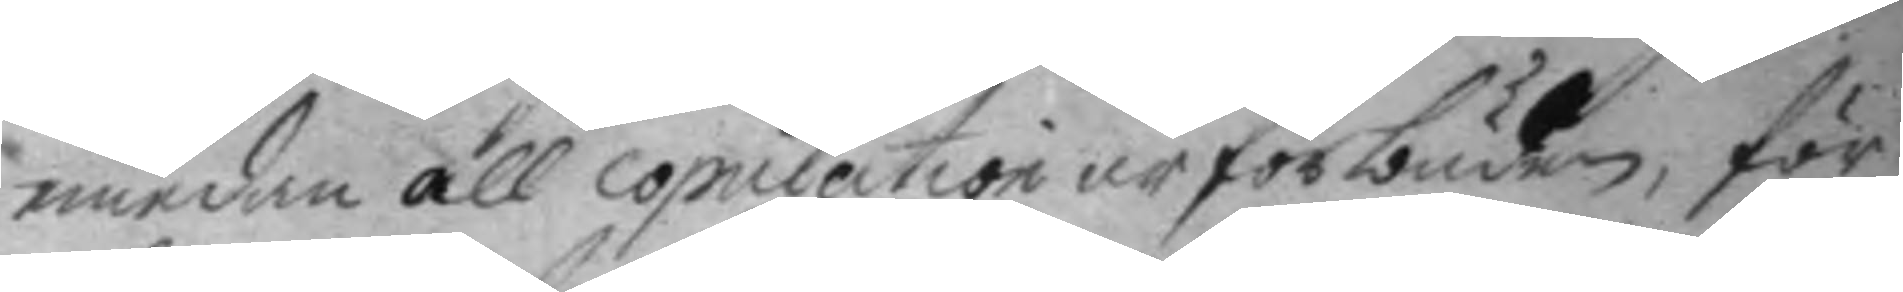emedan all copulation är förbuden, för
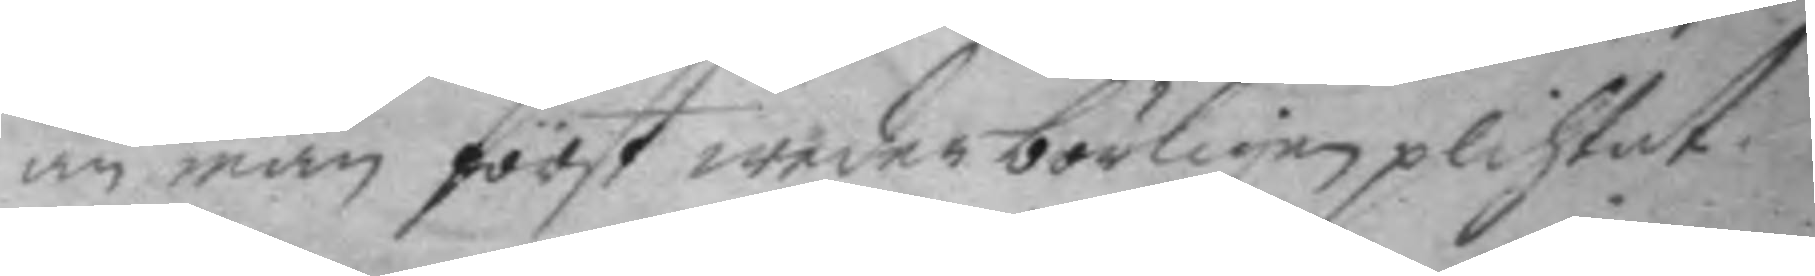än man först wederbörligen plichtat.
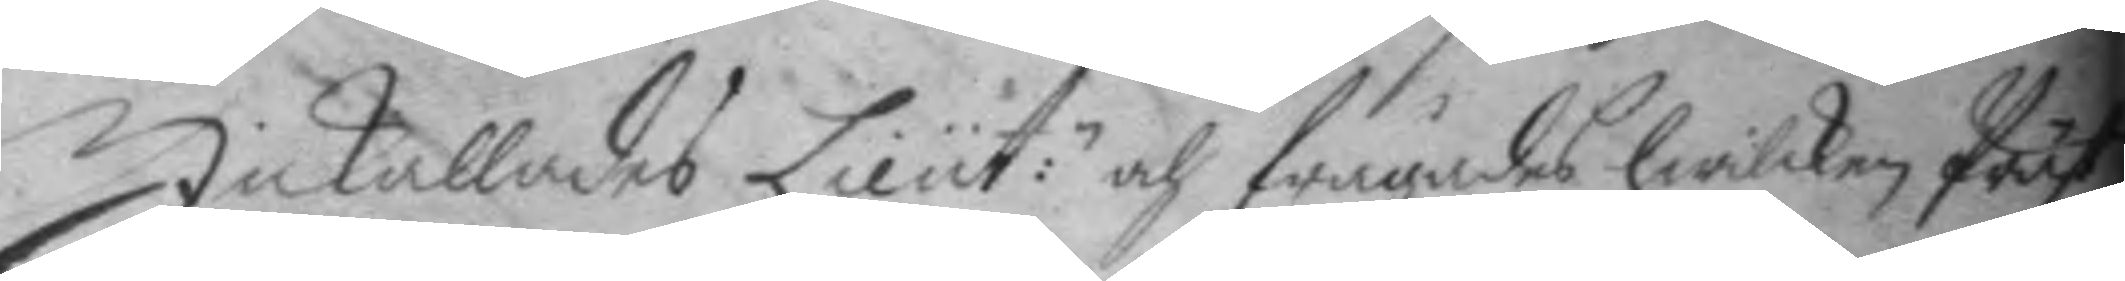Inkallades Lieut:n och frågades hwilken Präst
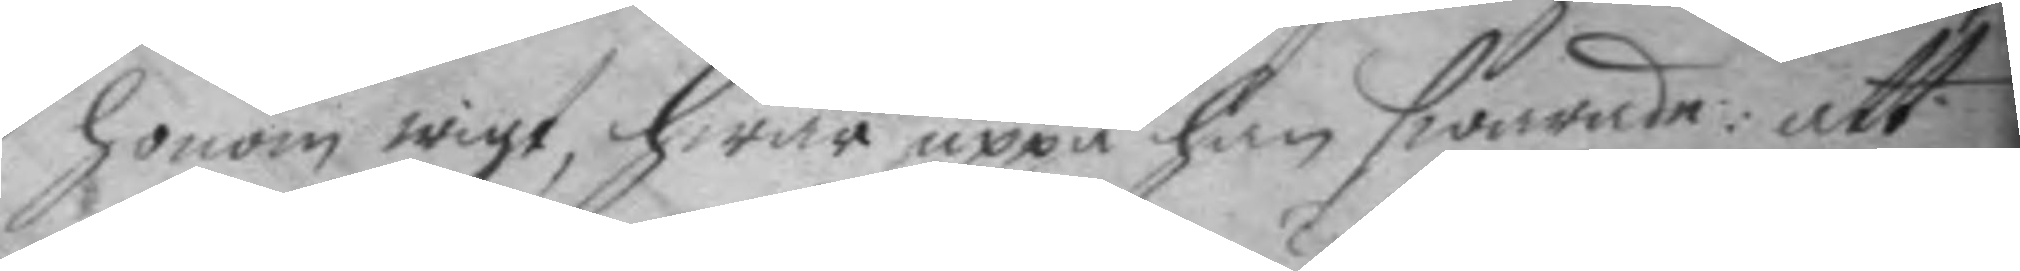honom wigt, hwar uppå han swarade: att
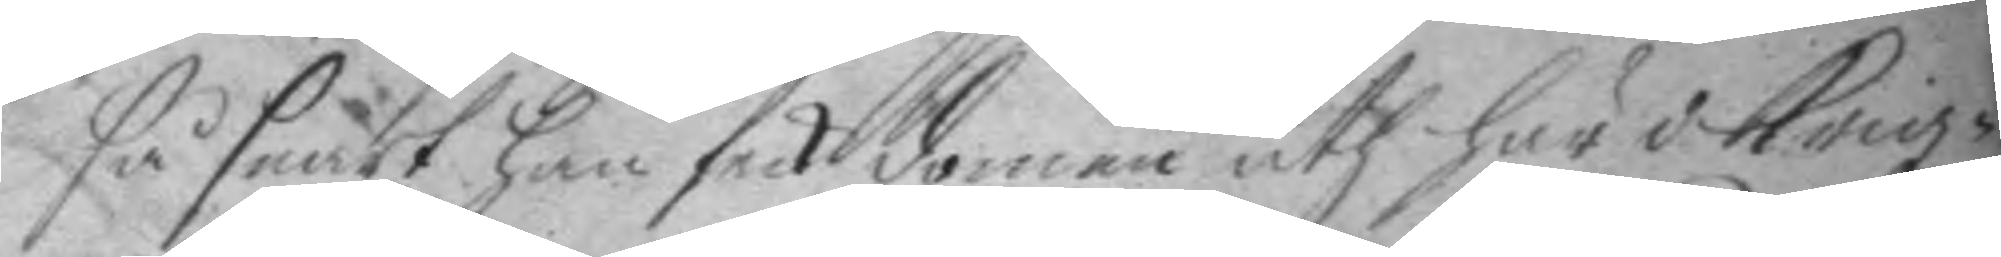så snart han feck domen uth här i Krigz¬
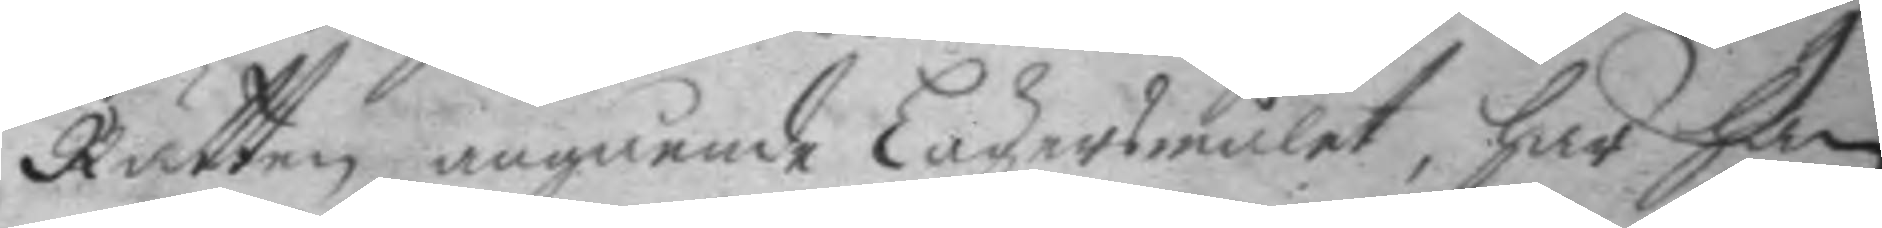Rätten angående Lägersmålet, har han
